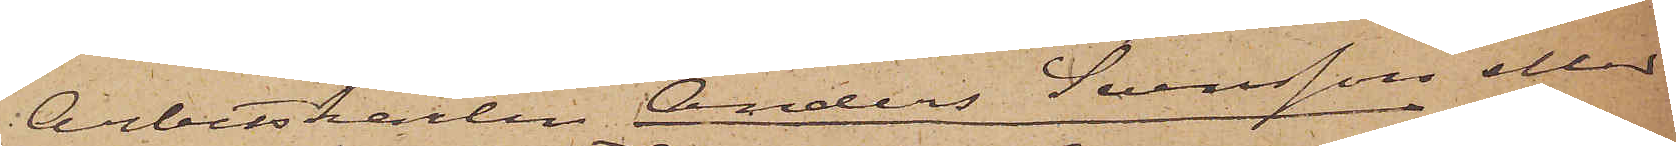Arbetskarlen Anders Svensson eller
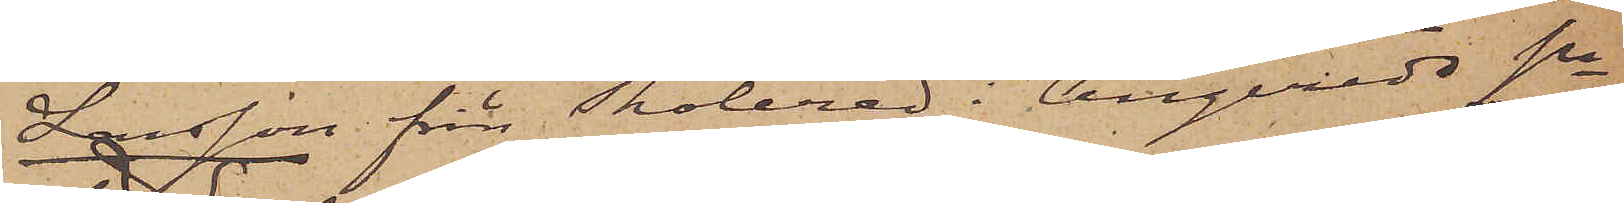Larsson från Tholered i Angereds sn
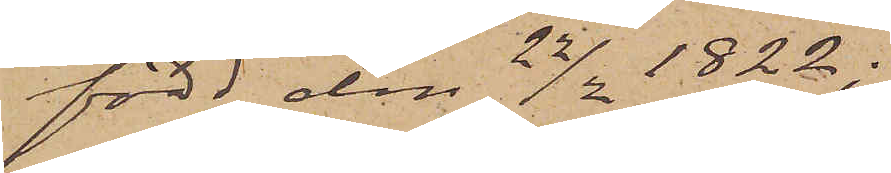född den 22/2 1822;
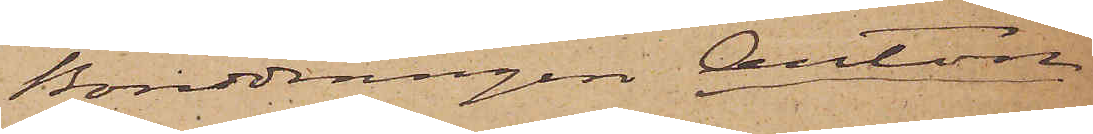Bonddrängen Anton
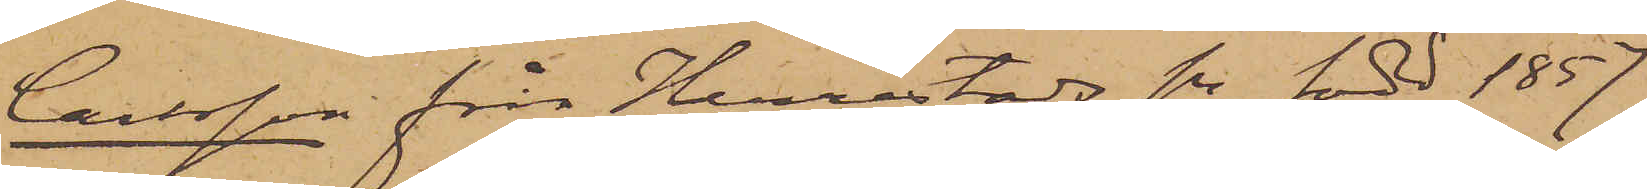Carlsson från Herrestads sn född 1857
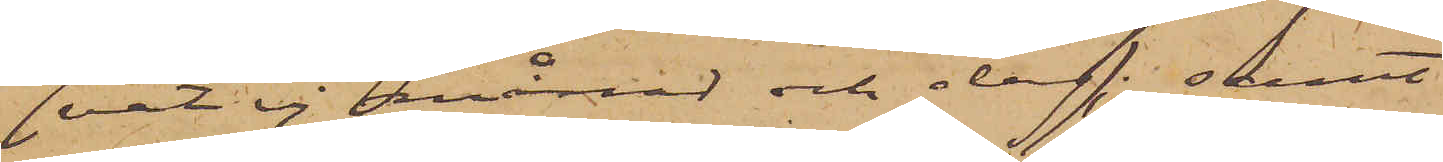( vet ej månad och dag); samt
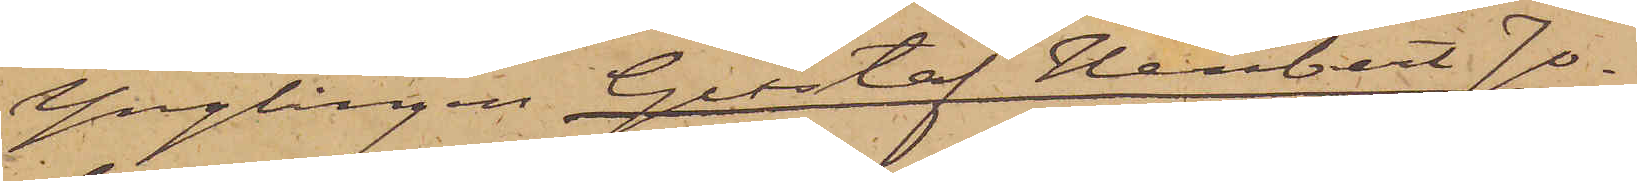Ynglingen Gustaf Heribert Jo¬
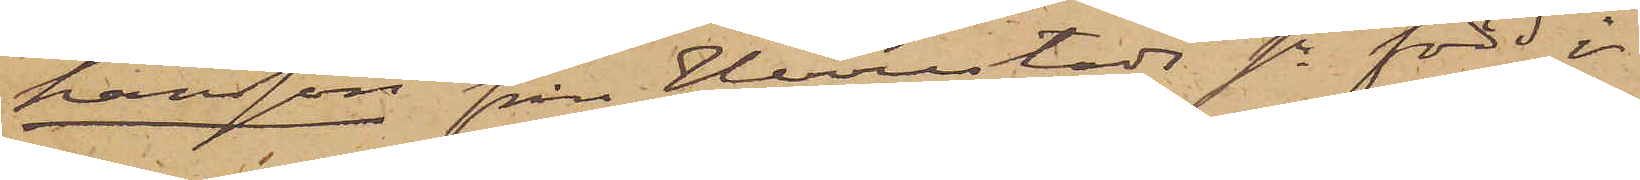hansson från Herrestads sn född i
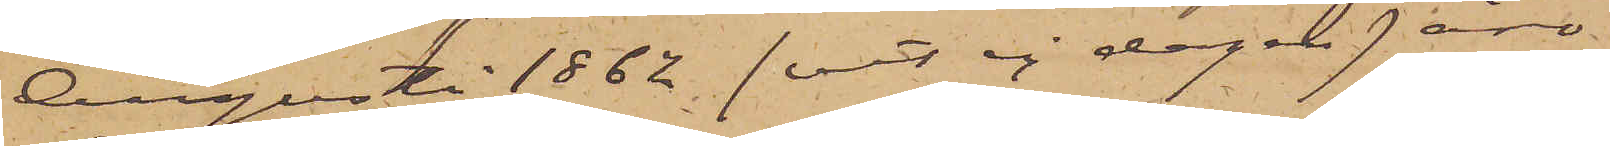Augusti 1862, ( vet ej dagen ) äro
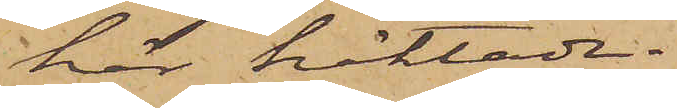här häktade.
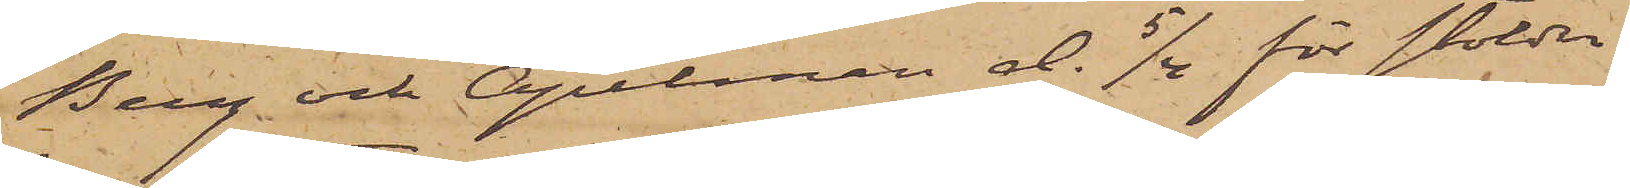Berg och Apelman d. 5/4 för stölder
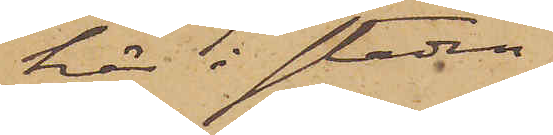här i staden
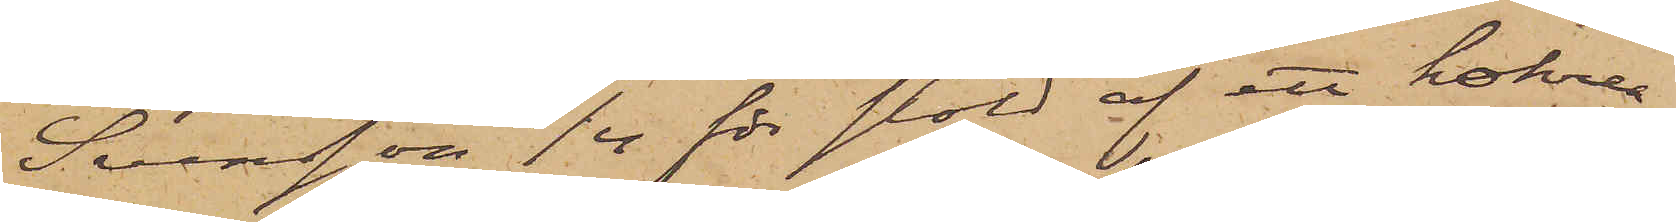Svensson 5/4 för stöld af ett kokrea¬
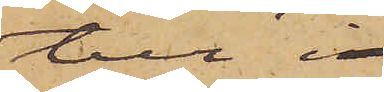tur i
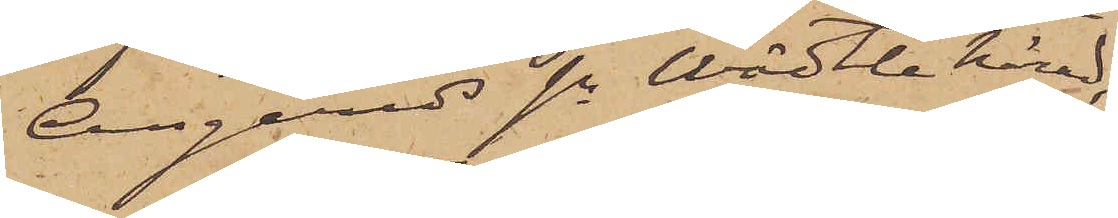Angereds sn Wädtle härad,
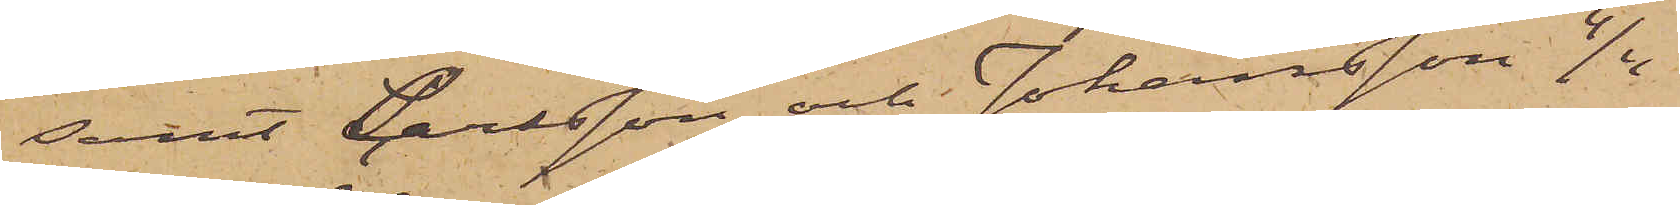samt Carlsson och Johansson 4/4
